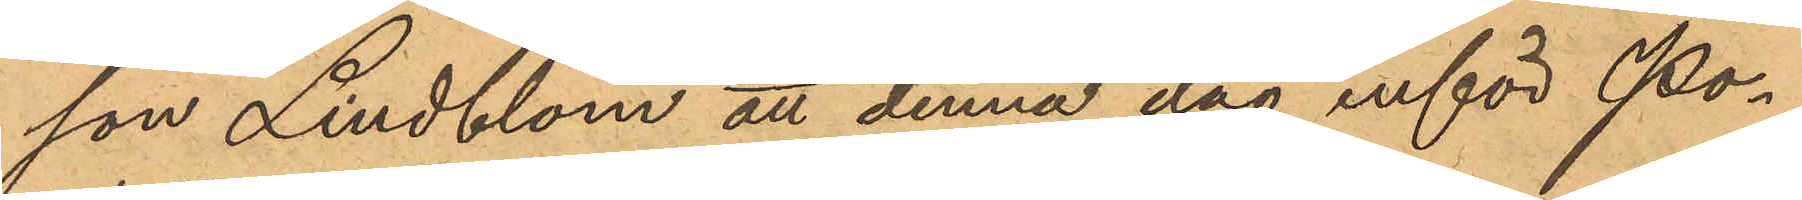son Lindblom att denna dag inför Po¬
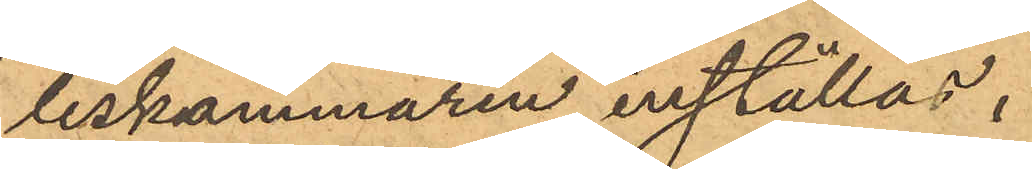liskammaren inställas.
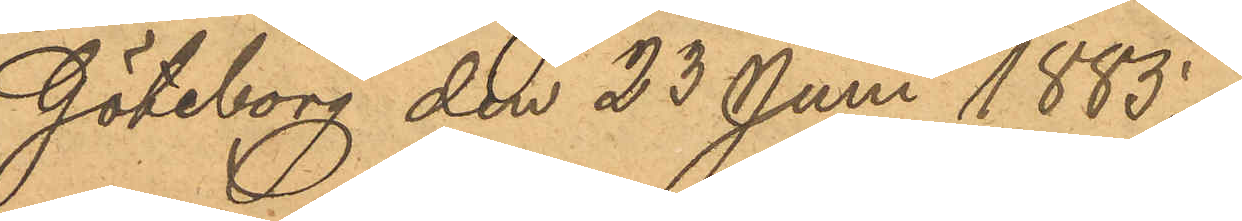Göteborg den 23 Juni 1885.
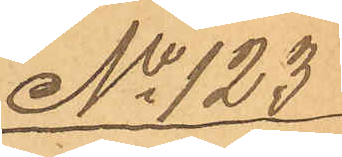No 123
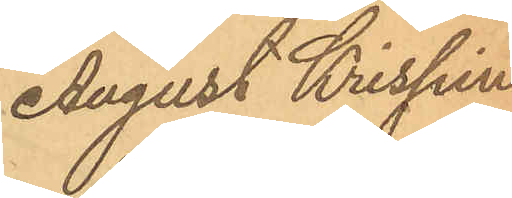August Krispin
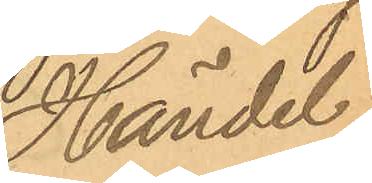Händel.
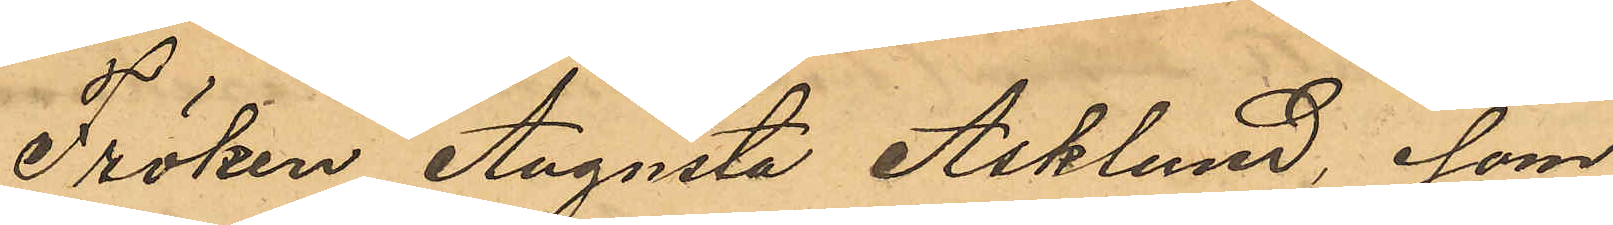Fröken Augusta Asklund, som
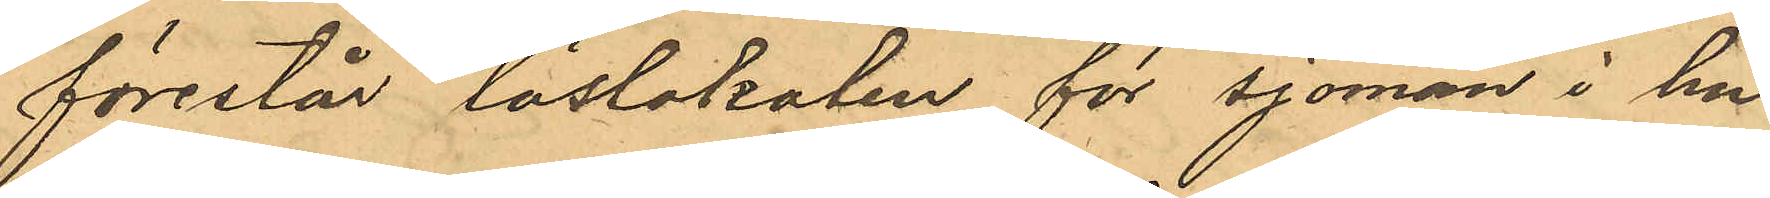förestår läslokalen för sjömän i hu¬
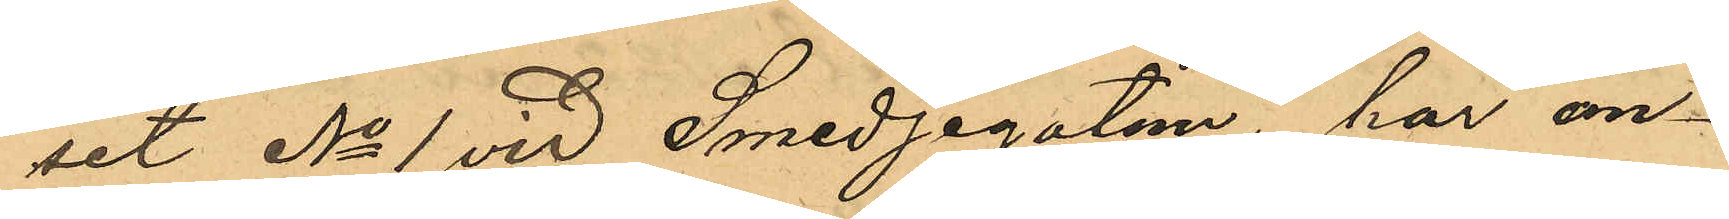set No 1 vid Smedjagatan, har an¬
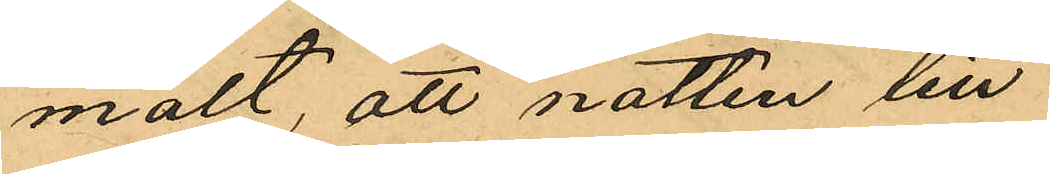mält, att natten till
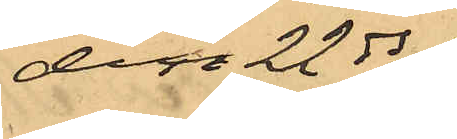den 22ds
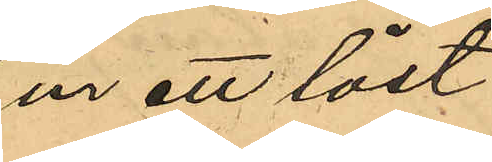ur ett låst
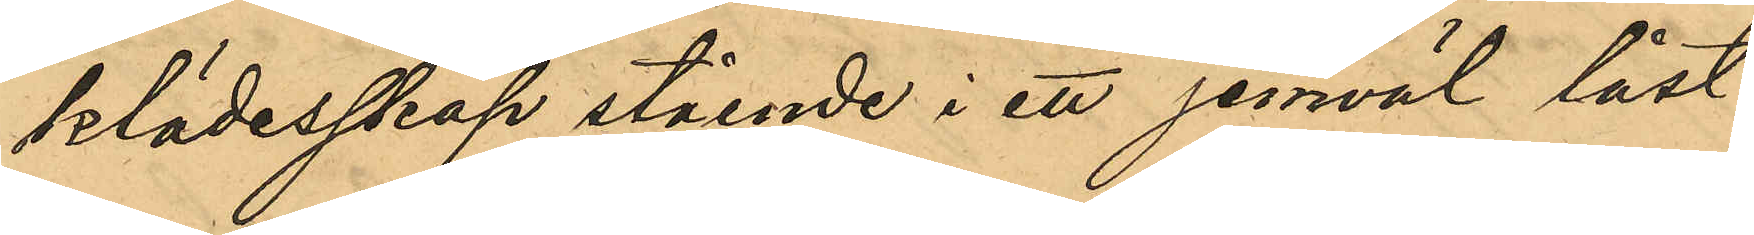klädesskåp stående i ett jemväl låst
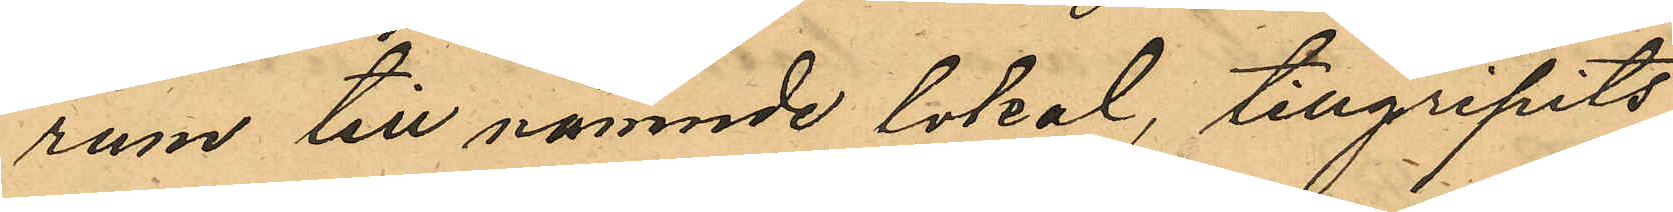rum till nämnde lokal, tillgripits
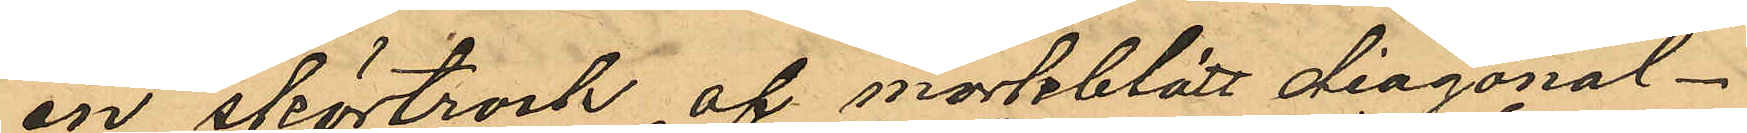en skörtrock af mörkblått diagonal
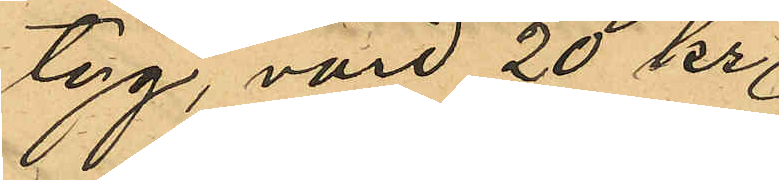tyg, värd 20 kr;
